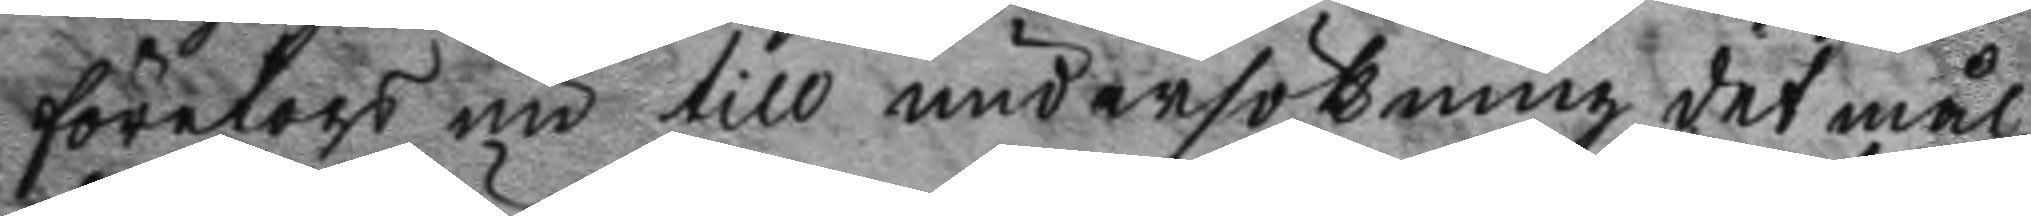företogs nu till undersökning det mål
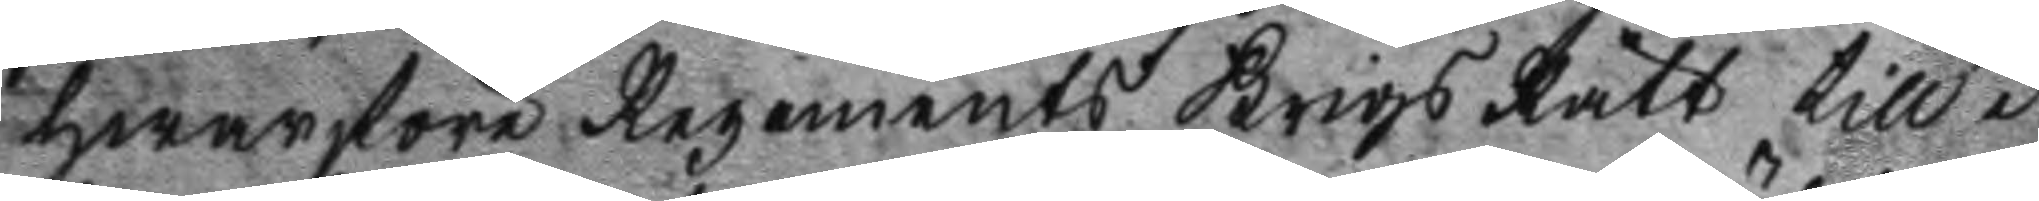hwarföre Regements Krigs Rätt till i
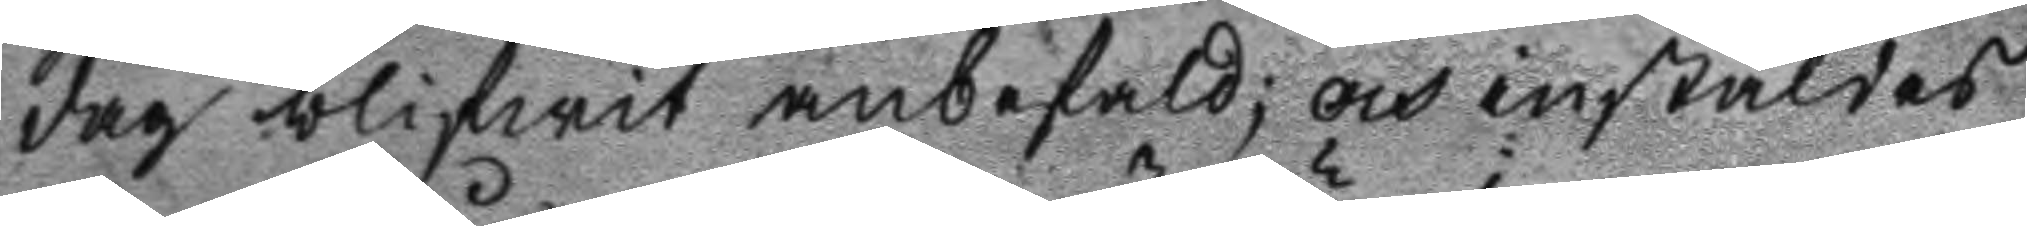dag blifwit anbefald; och instäldes
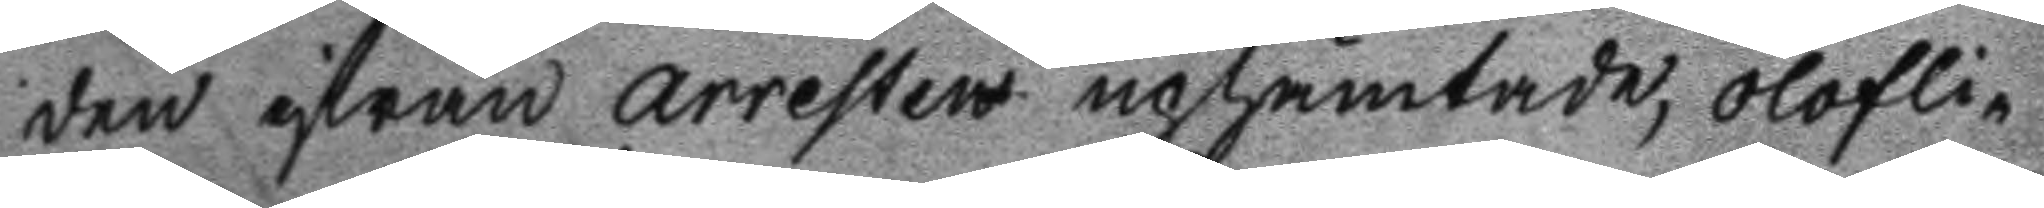den ifrån arresten uphämtade, olofli¬
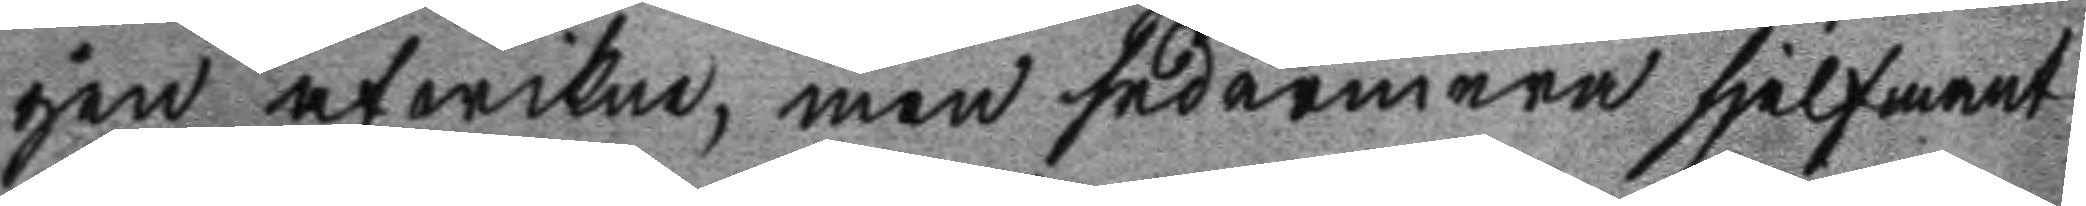gen afwikne, men sedermera sjelfmant
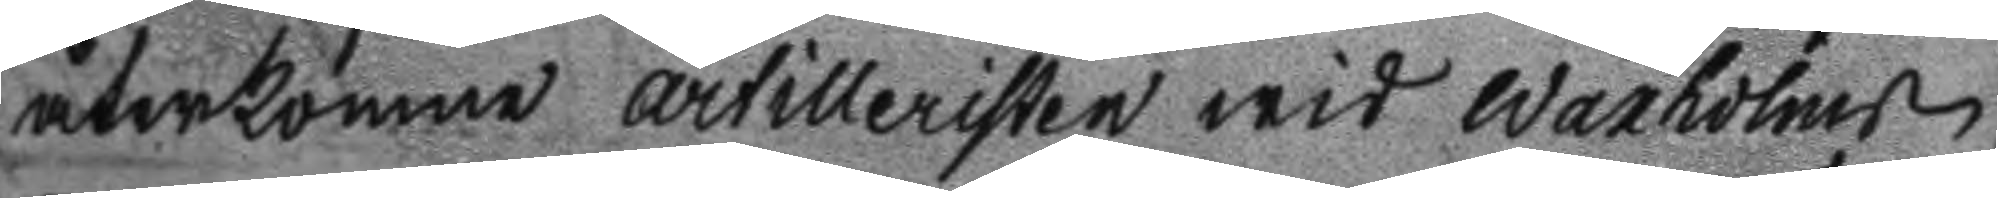återkomne artilleristen wid Waxholms
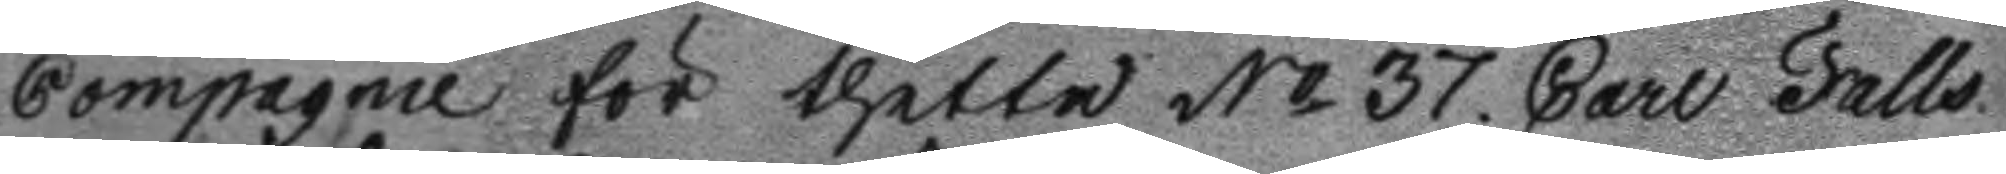Compagnie för thetta No 37. Carl Falls
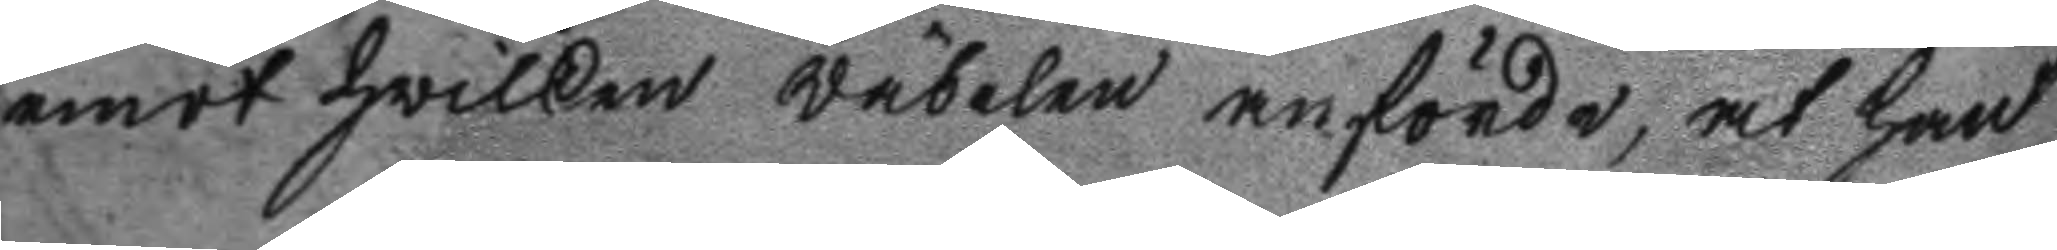emot hwilken wäbelen anförde, at han
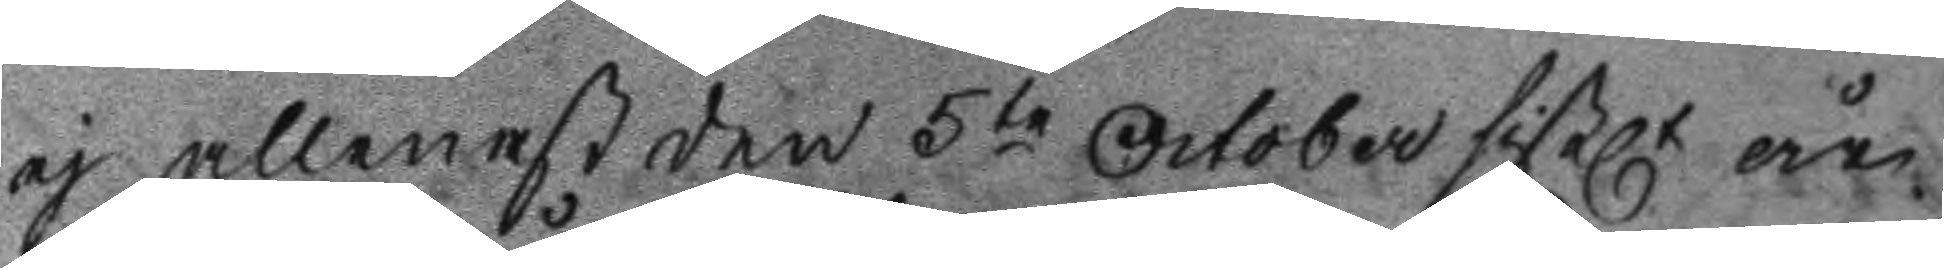ej allenast den 5te October sistl. år
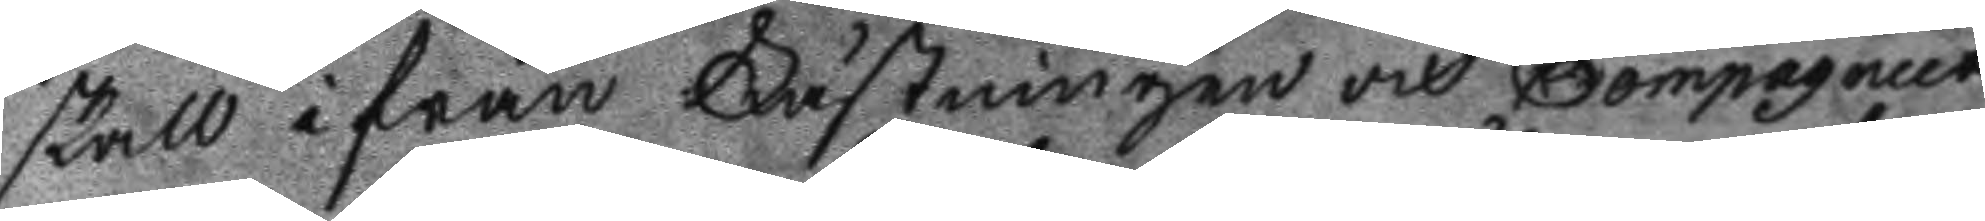skall ifrån Fästningen och Compagniet
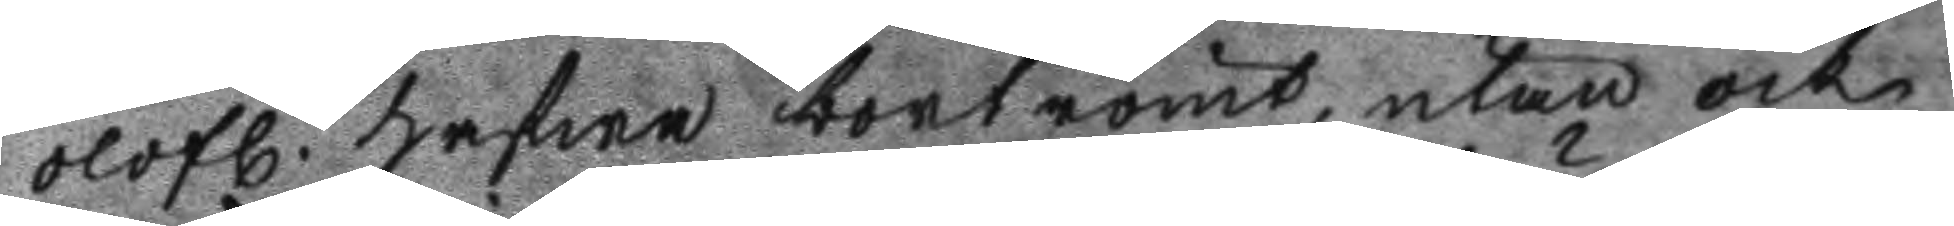olofl. hafwa bortrymt, utan ock
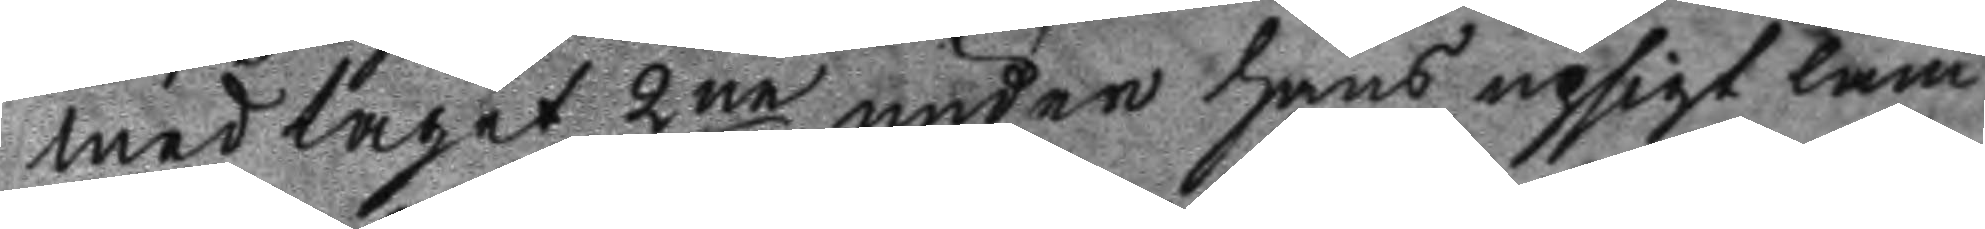medtagit 2ne under hans upsigt läm
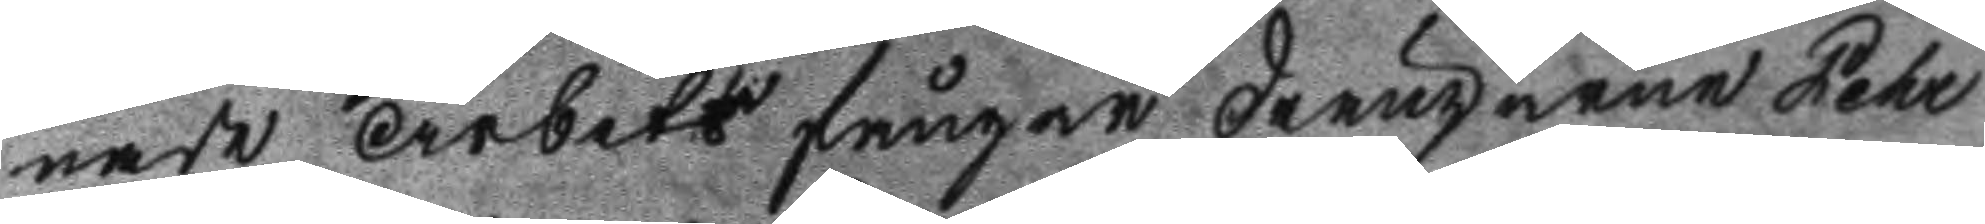nade Arbets fångar drängarne Pehr
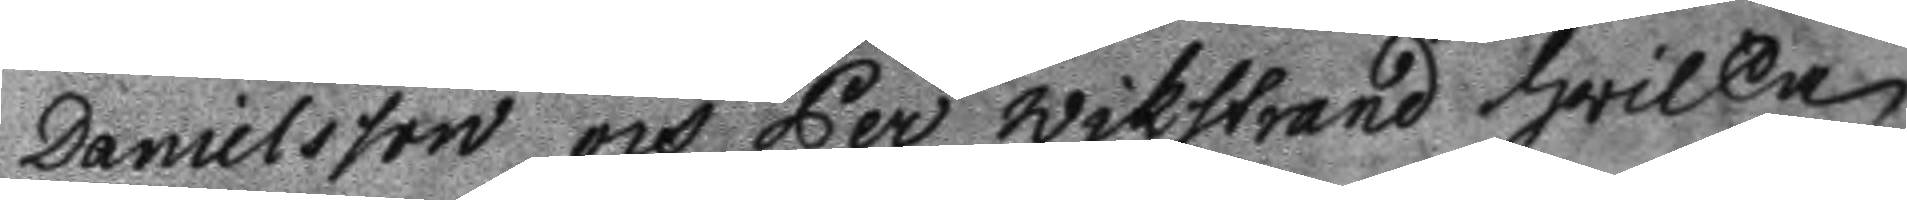Danielsson och Per Wikstrand hwilka
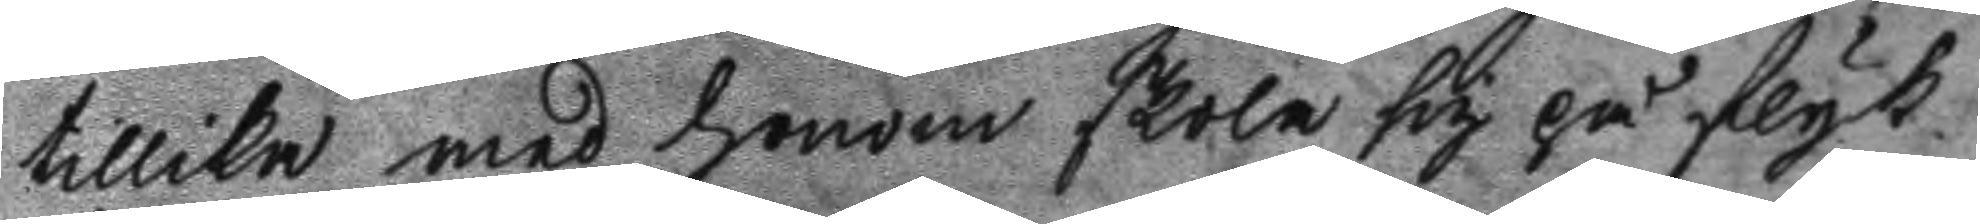tillika med honom skola sig på flyk
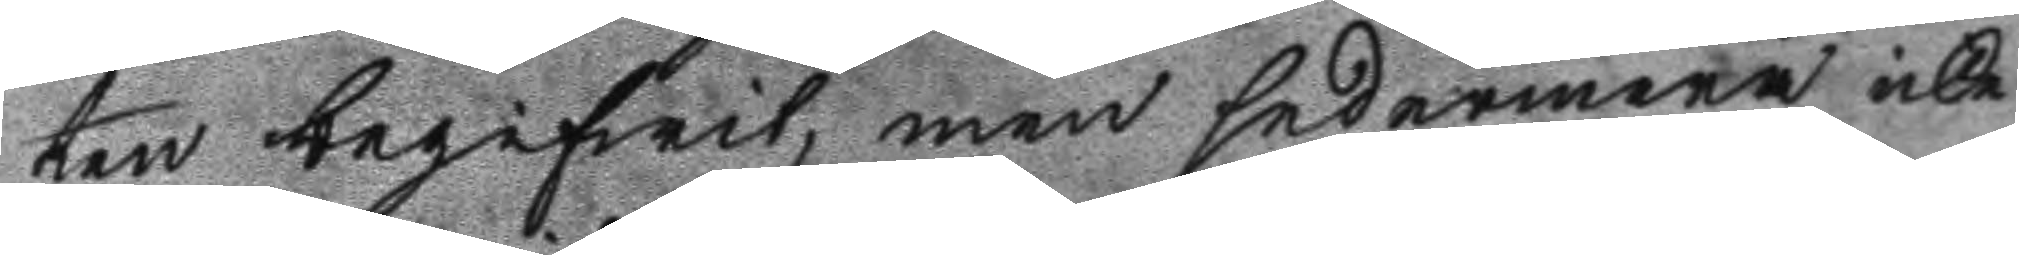ten begifwit, men sedermera icke
